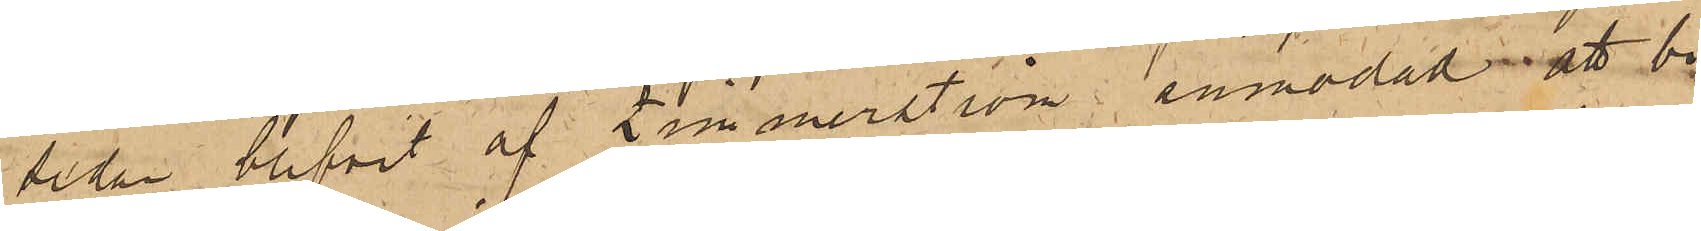sidan blifvit af Zimmerström anmodad att bi¬
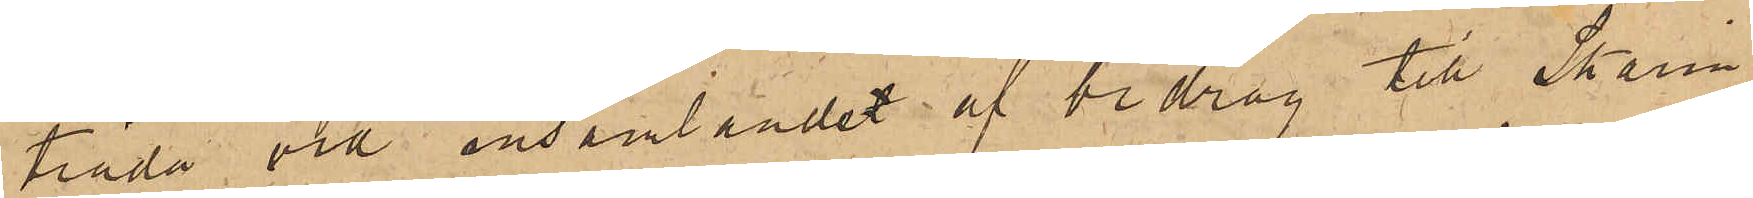träda vid insamlandet af bidrag till Skarin;
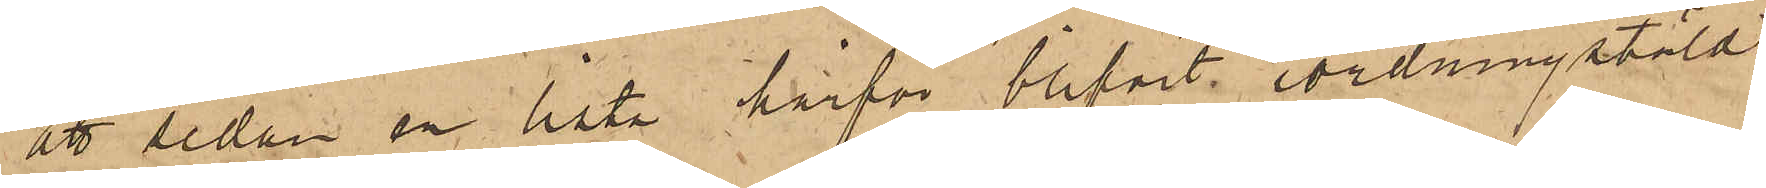att sedan en lista härför blifvit iordningstäld,
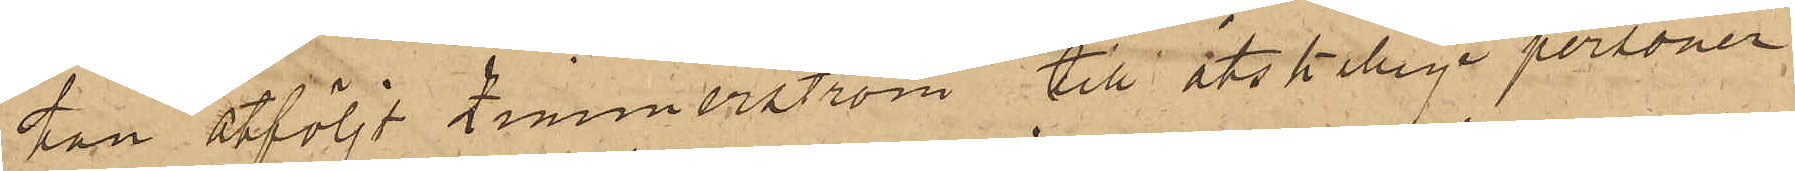han åtföljt Zimmerström till åtskillige personer
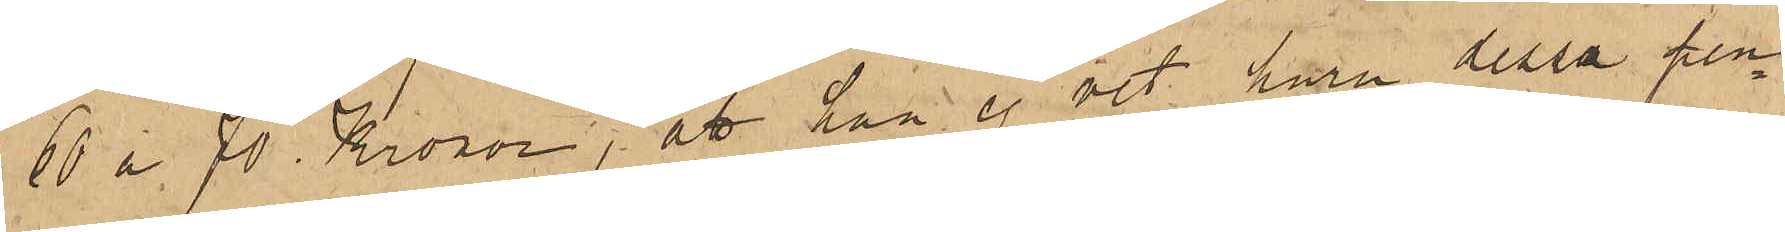60 a 70 Kronor; att han ej vet huru dessa pen¬
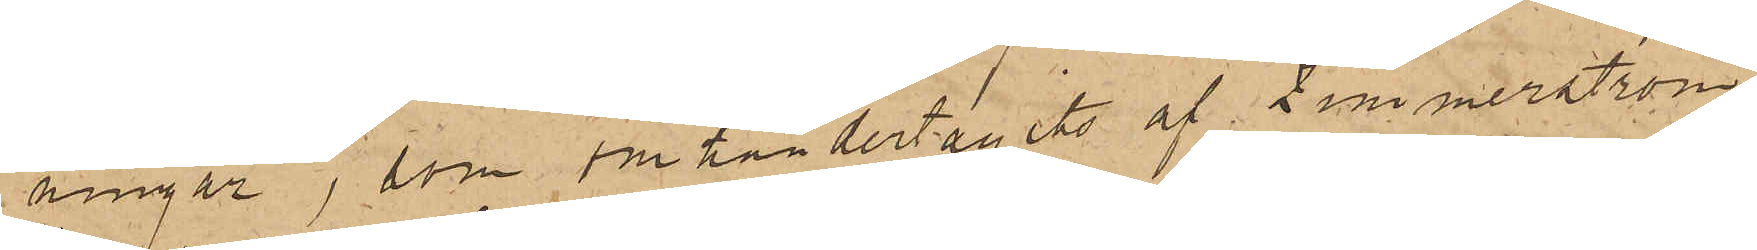ningar, som omhändertagits af Zimmerström
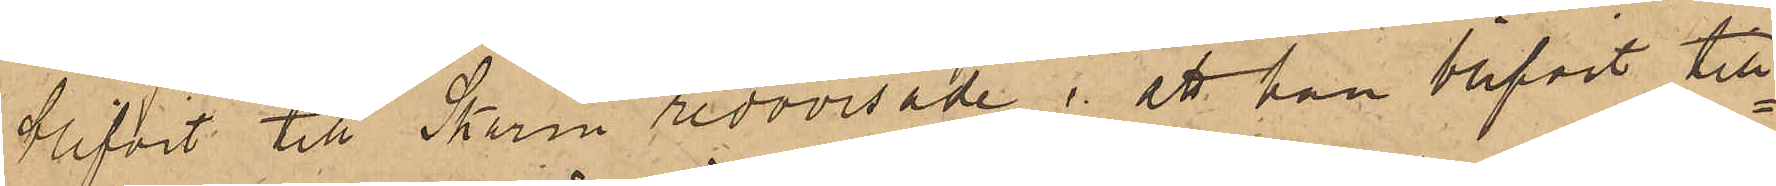blifvit till Skarin redovisade; att han blifvit till¬
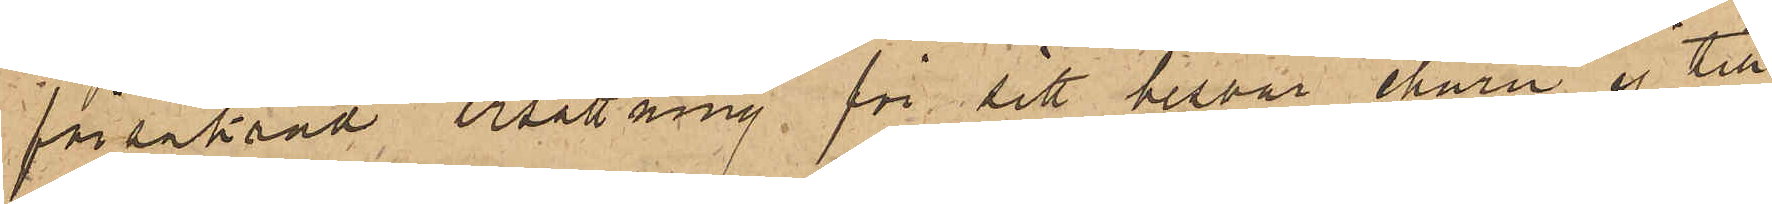försäkrad ersättning för sitt besvär ehuru ej till
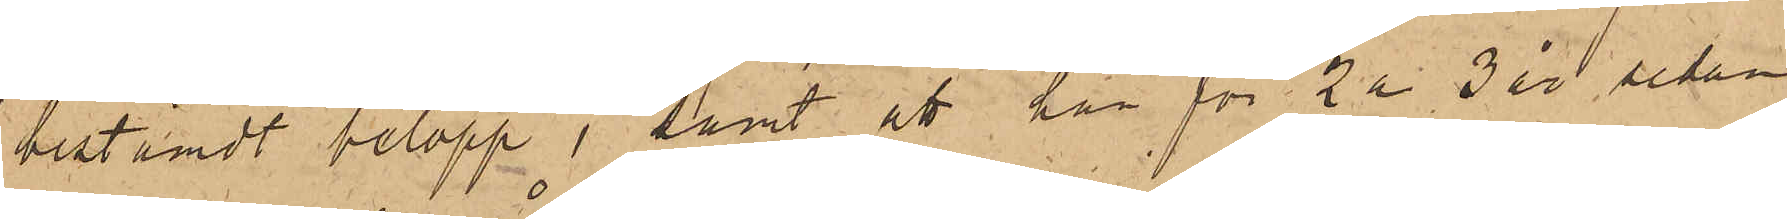bestämdt belopp; samt att han för 2 a 3 år, sedan
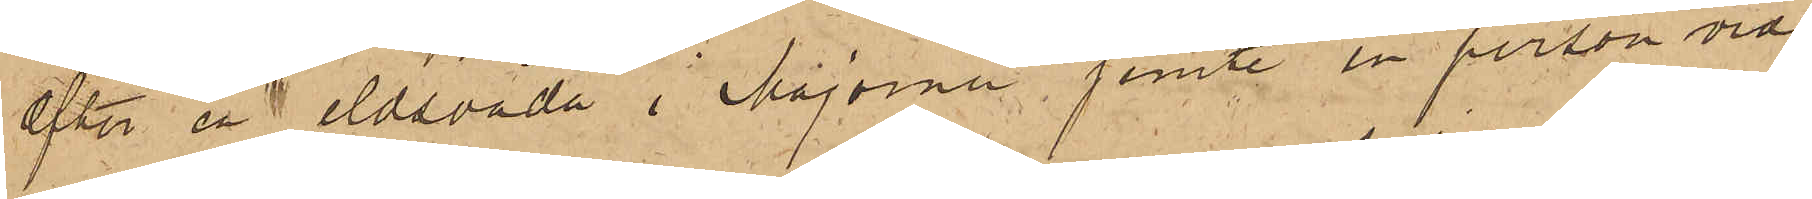efter en eldsvåda i Majorna jemte en person vid
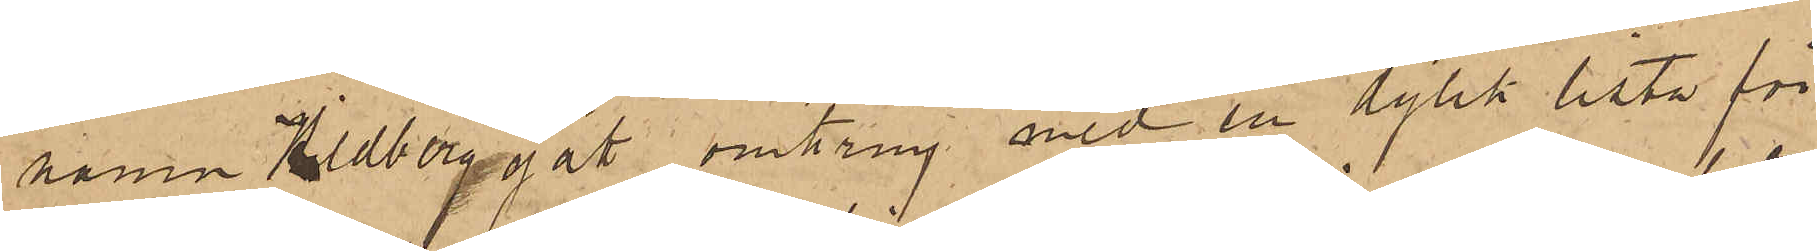namn Hildberg gått omkring med en dylik lista för
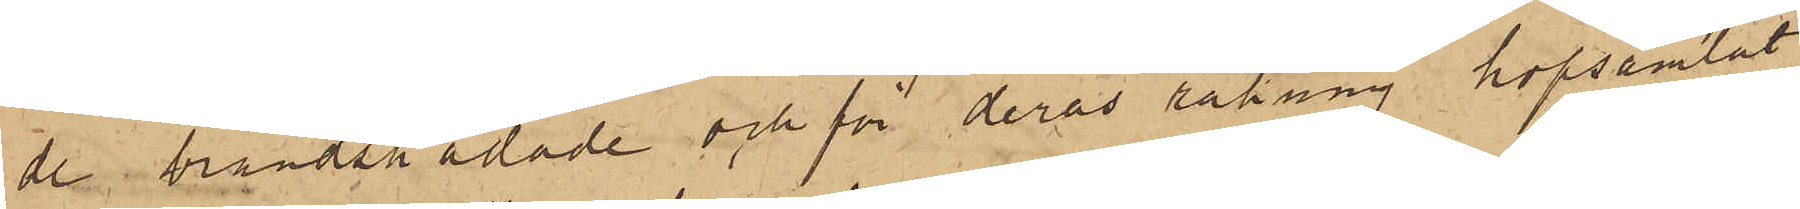de brandskadade och för deras räkning hopsamlat
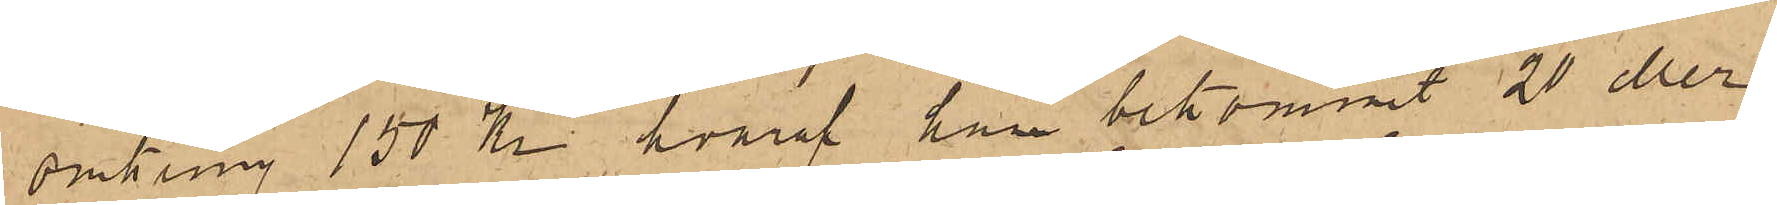omkring 150 Kr, hvaraf han bekommit 20 eller
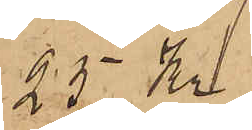25 Kr.
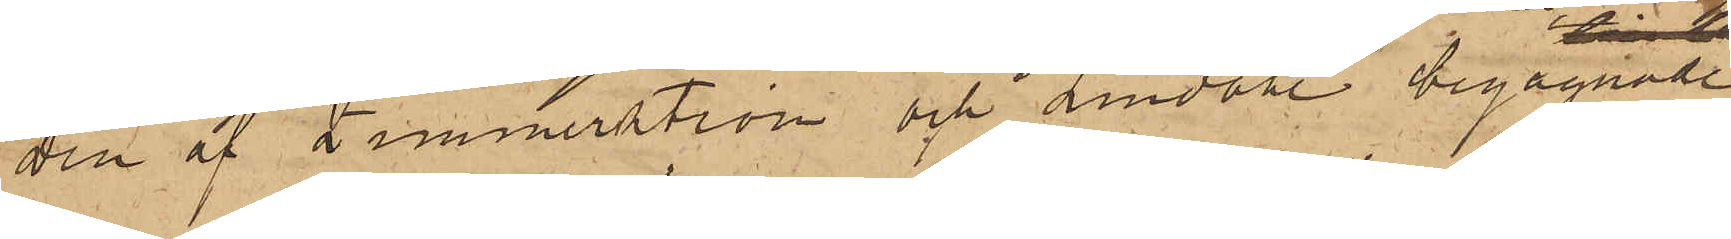Den af Zimmerström och Lundahl begagnade
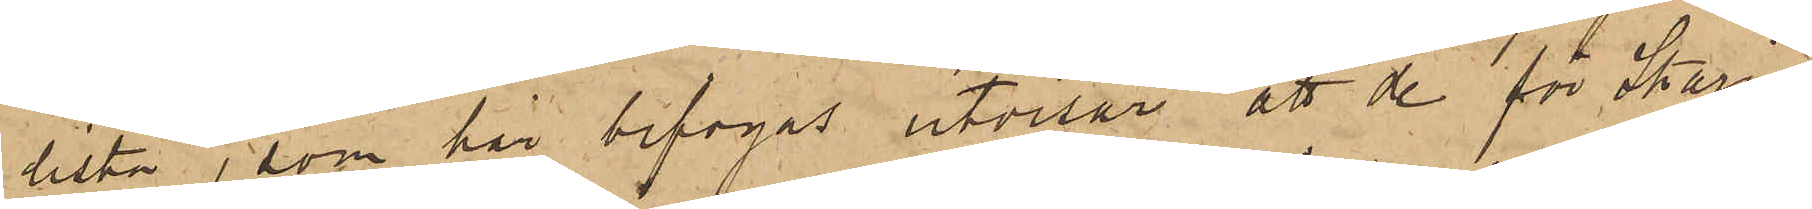lista, som här bifogas utvisar att de för Skarins
